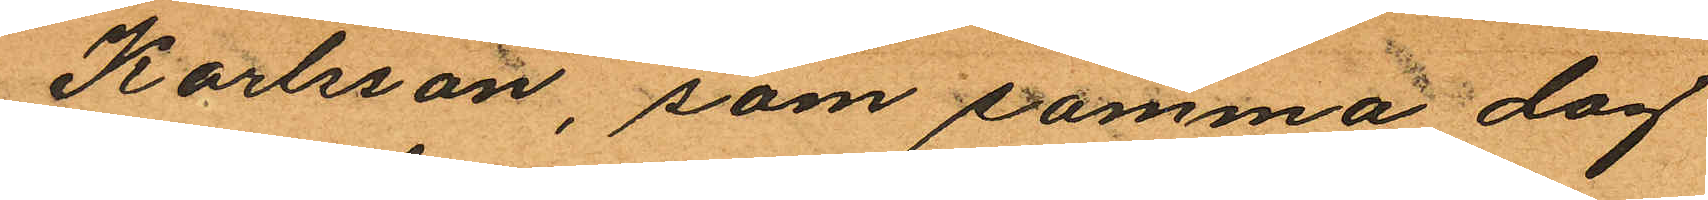Karlsson, som samma dag
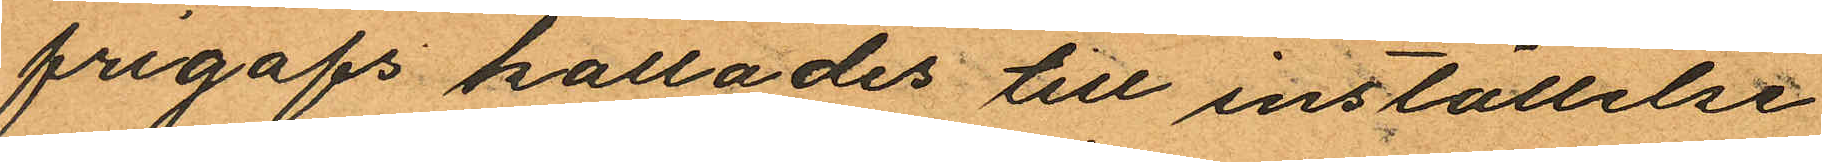frigafs kallades till inställelse
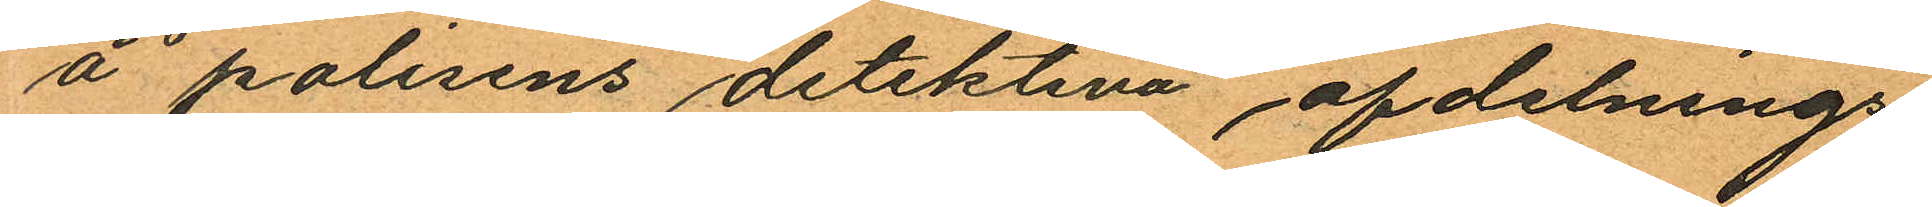å polisens detektiva afdelnings¬
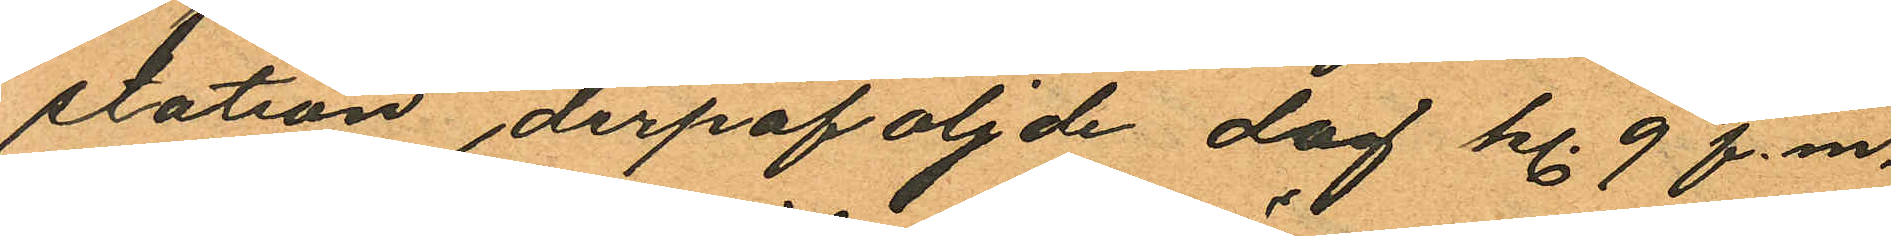station derpåföljde dag kl. 9 f.m.
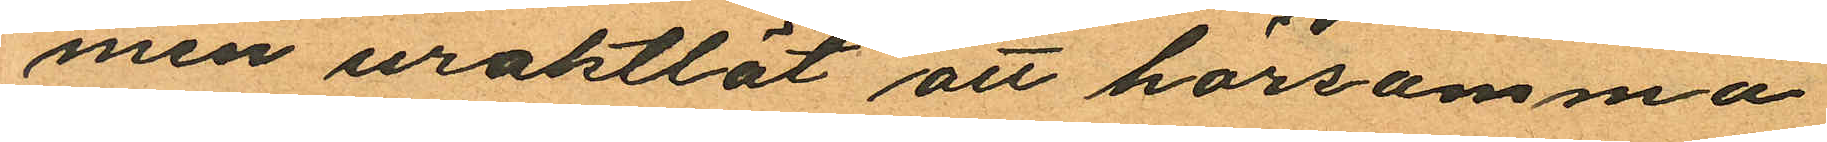men uraktlät att hörsamma
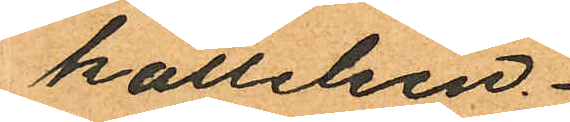kallelsen.
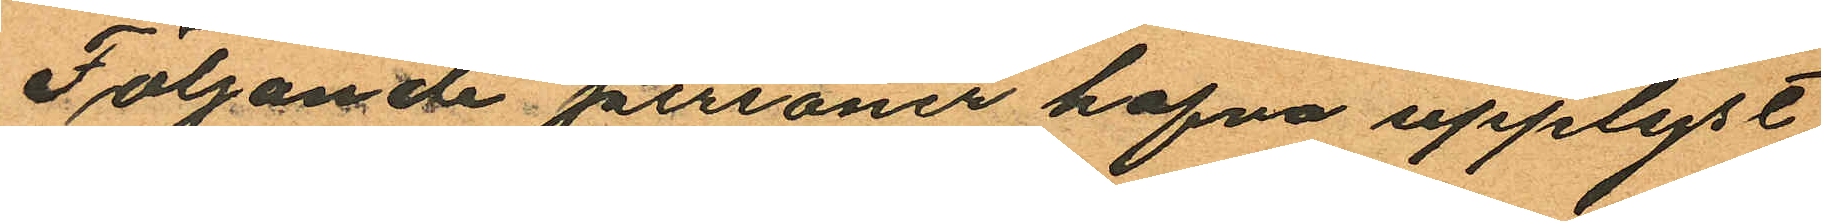Följande personer hafva upplyst
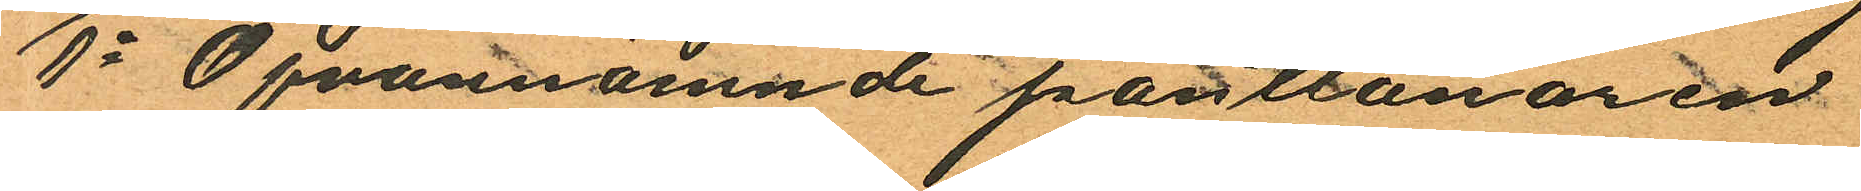1o Ofvannämnde pantlånaren
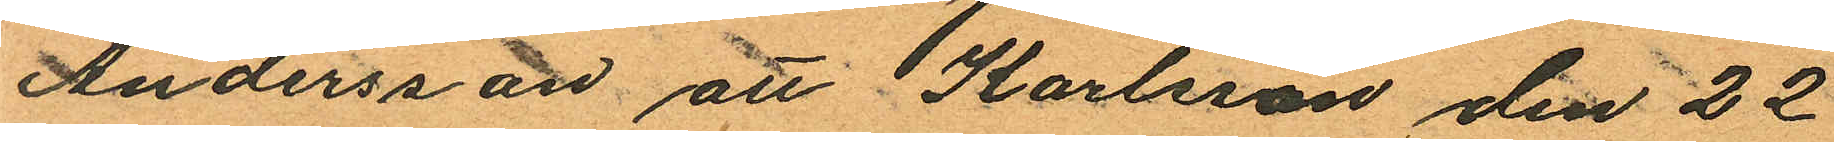Andersson att Karlsson den 22
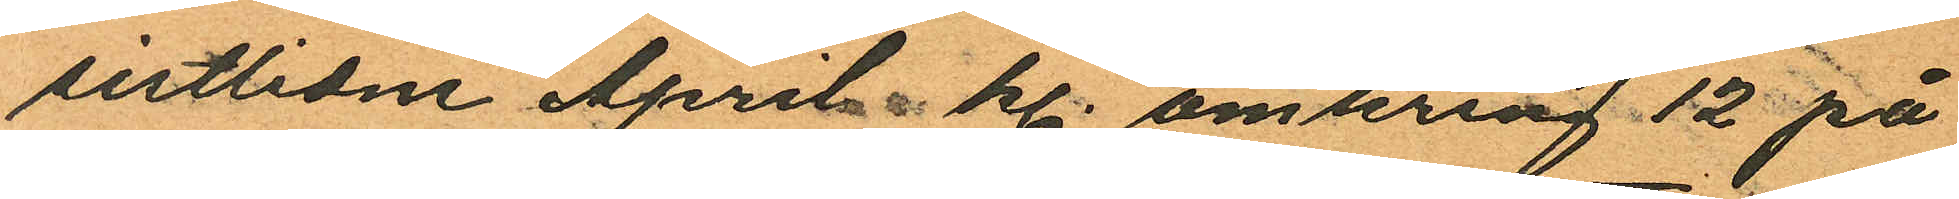sistlidne April kl. omkring 12 på
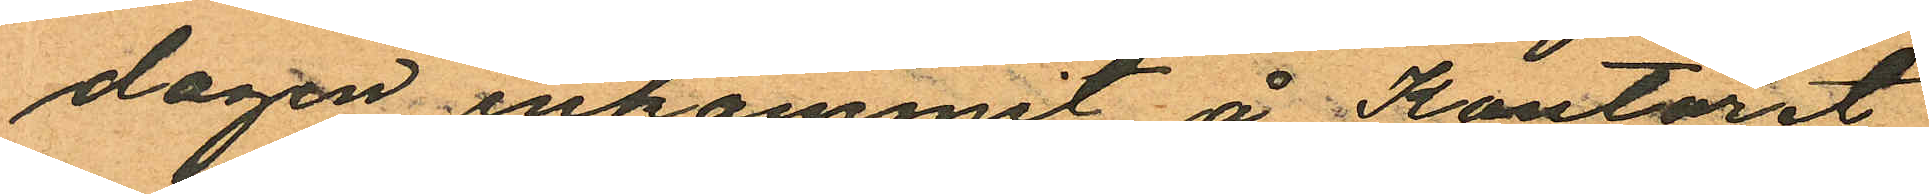dagen inkommit å Kontoret
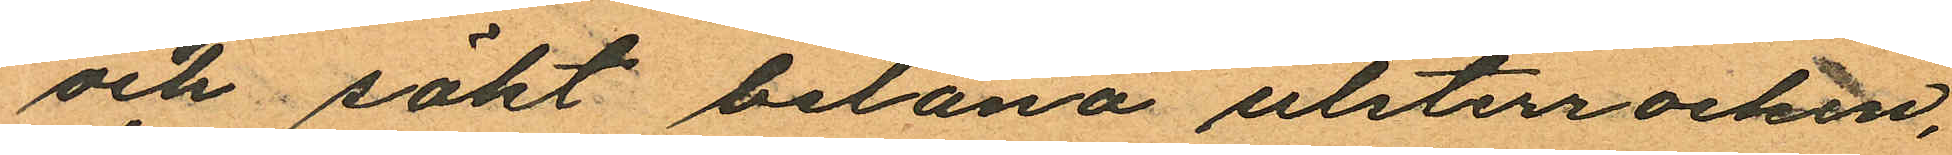och sökt belåna ulsterrocken,
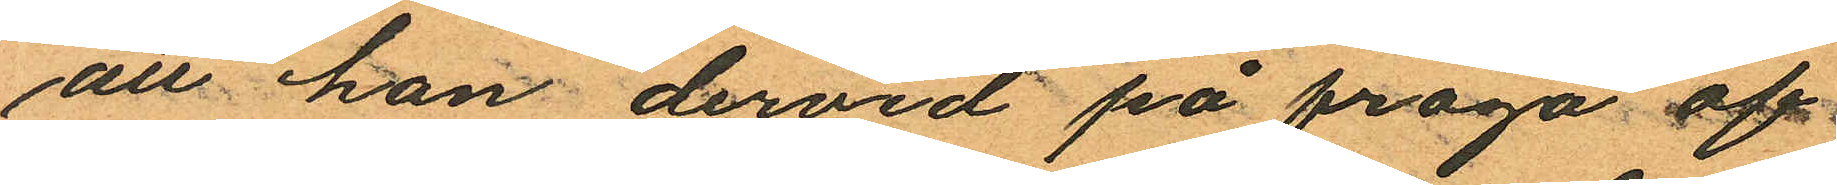att han dervid på fråga af
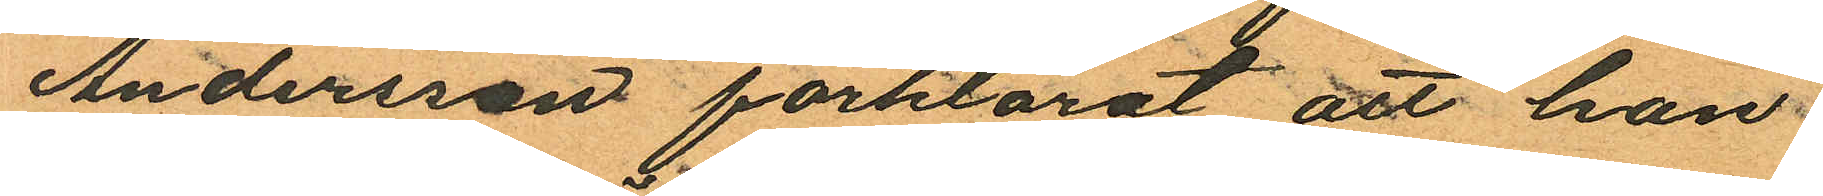Andersson förklarat att han
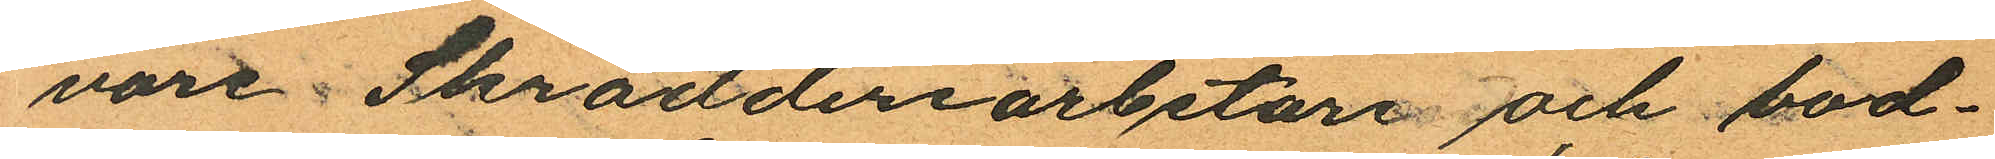vore Skrädderiarbetare och bod¬
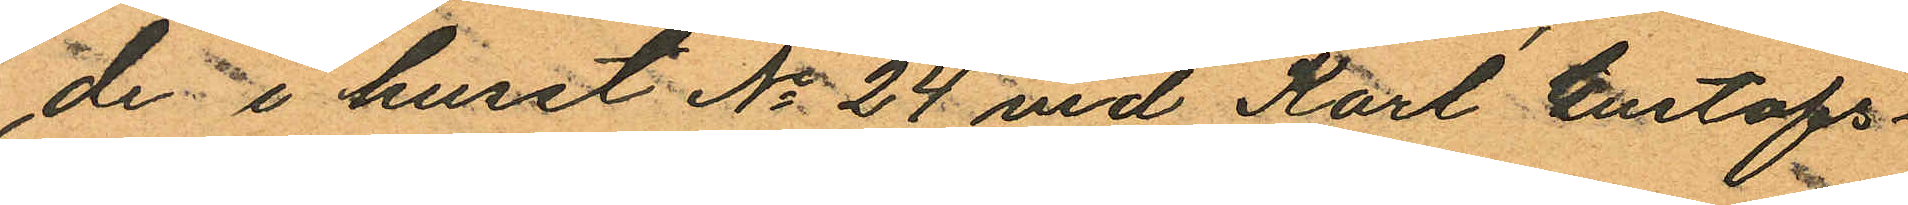de i huset No 24 vid Karl Gustafs¬
